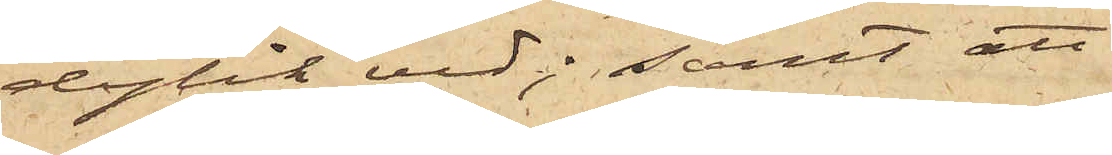dylik ved; samt att
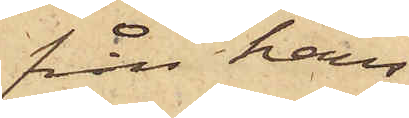från hans
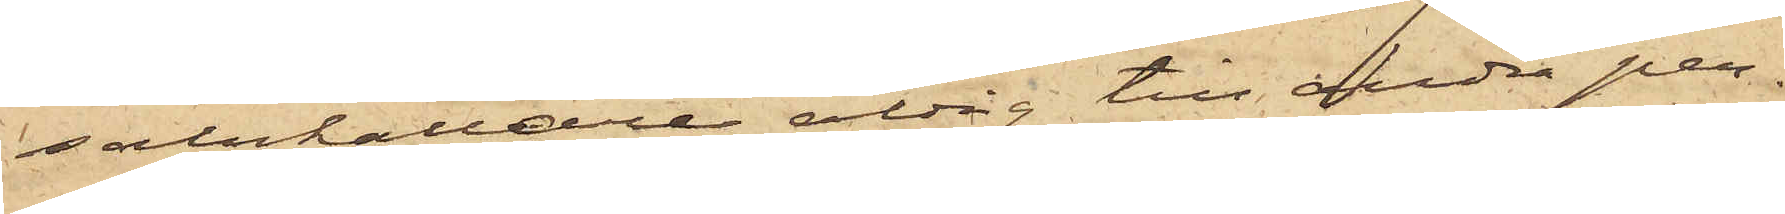salukällare aldrig till andra per¬
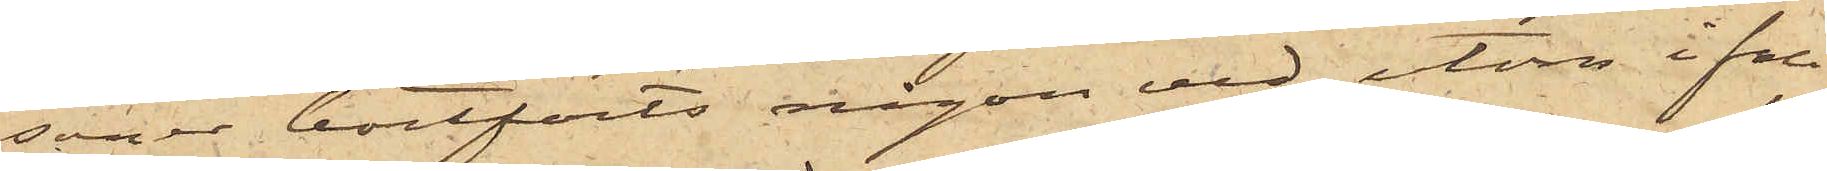soner bortförts någon ved, utom ifall
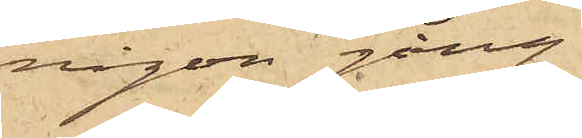någon gång
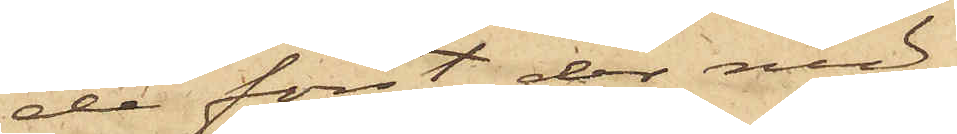de först der ned¬
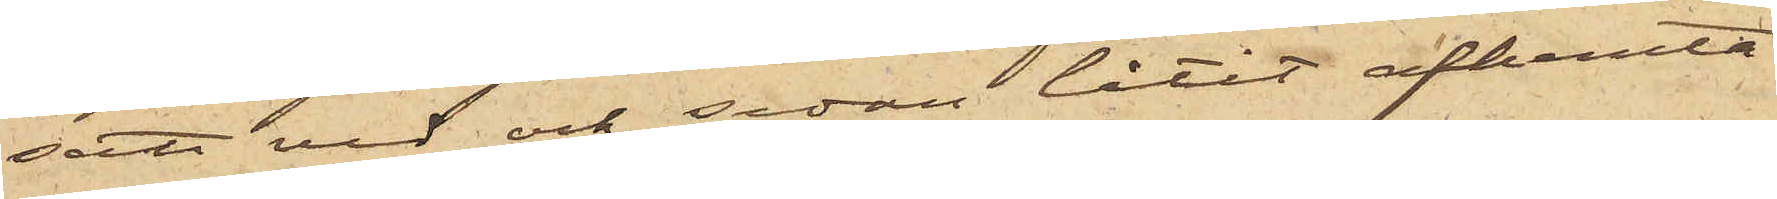satt ved och sedan låtit afhemta
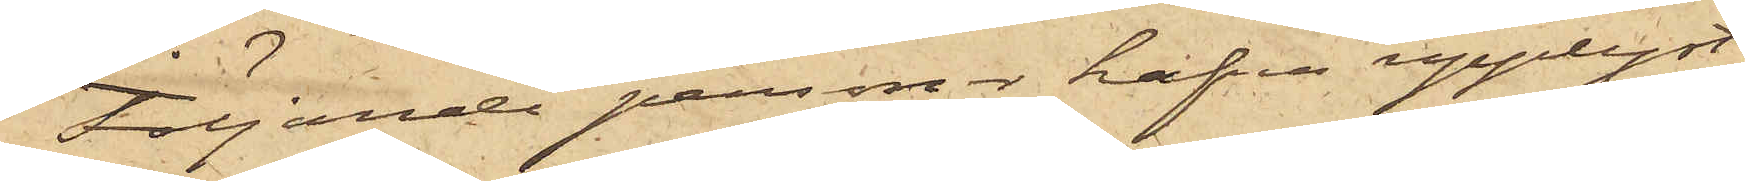Följande personer hafva upplyst.
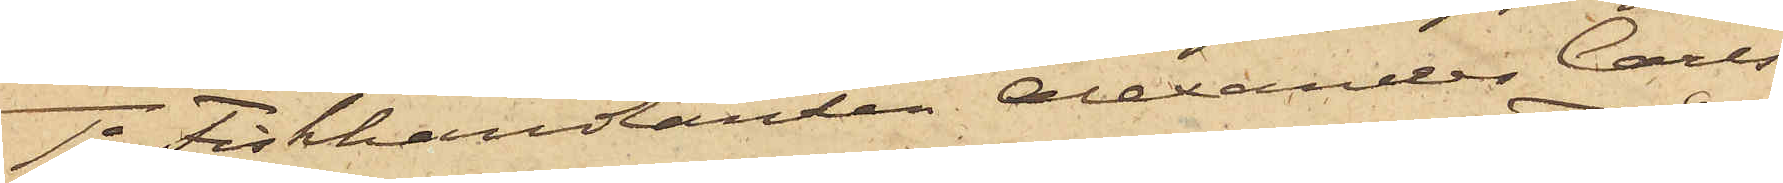1o Fiskhandlanden Alexander Carls¬
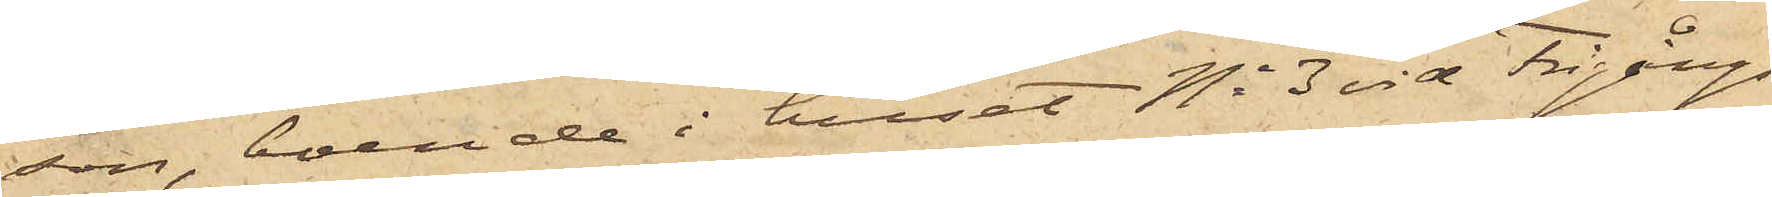son, boende i huset No 3 vid Frigångs¬
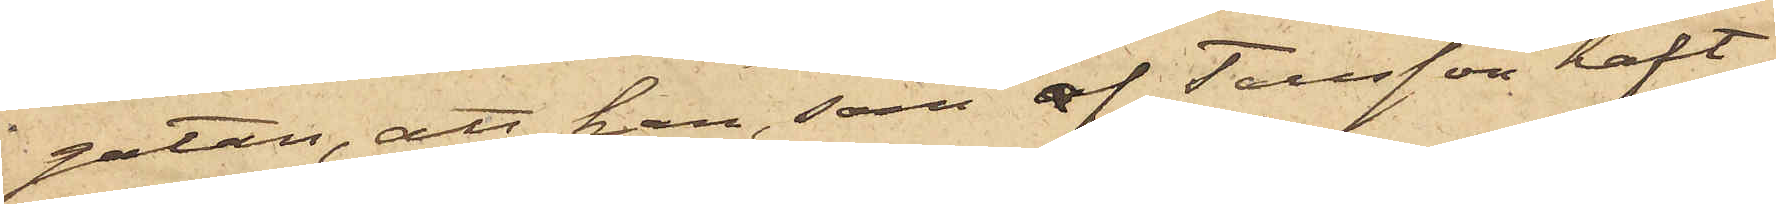gatan, att han, som af Tausson haft
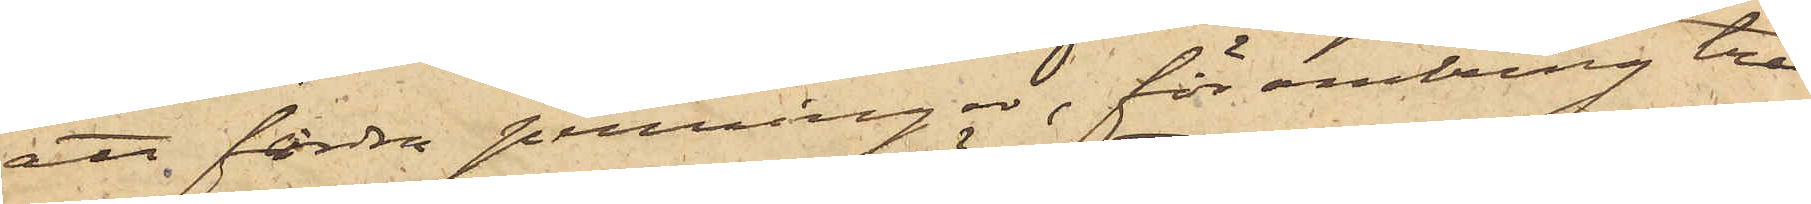att fordra penningar, för omkring tre
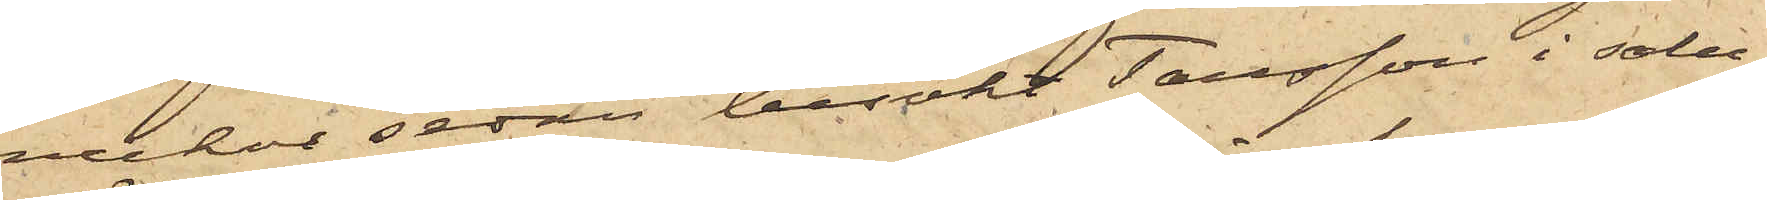veckor sedan besökt Tausson i salu¬
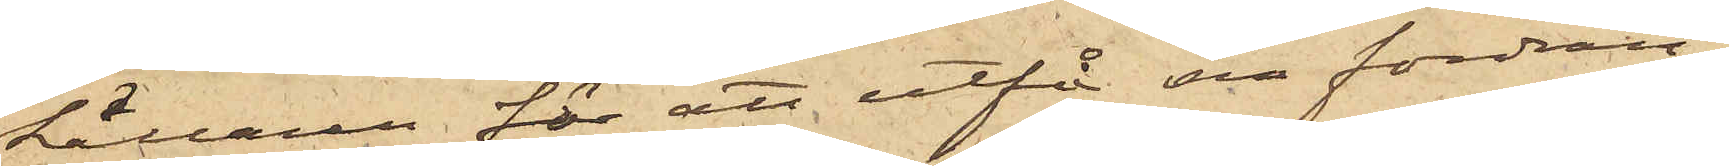källaren för att utfå sin fordran;
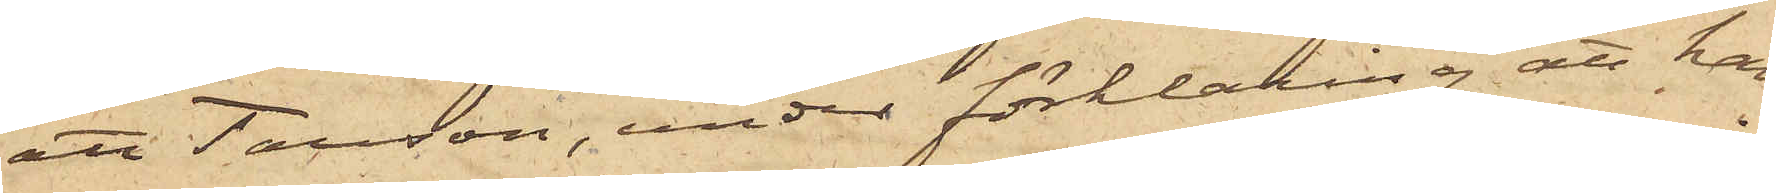att Tausson, under förklaring att han
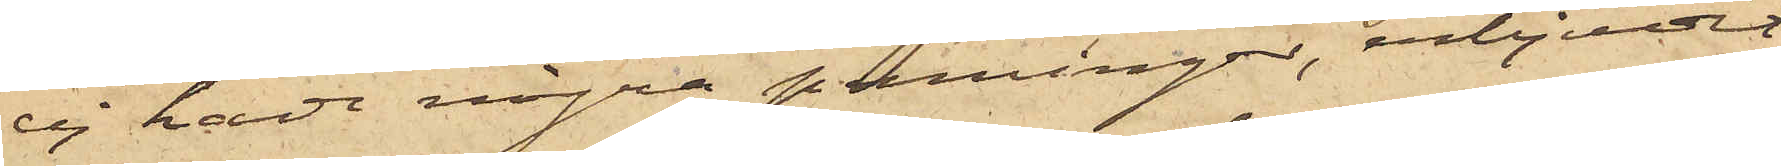ej hade några penningar, erbjudit
